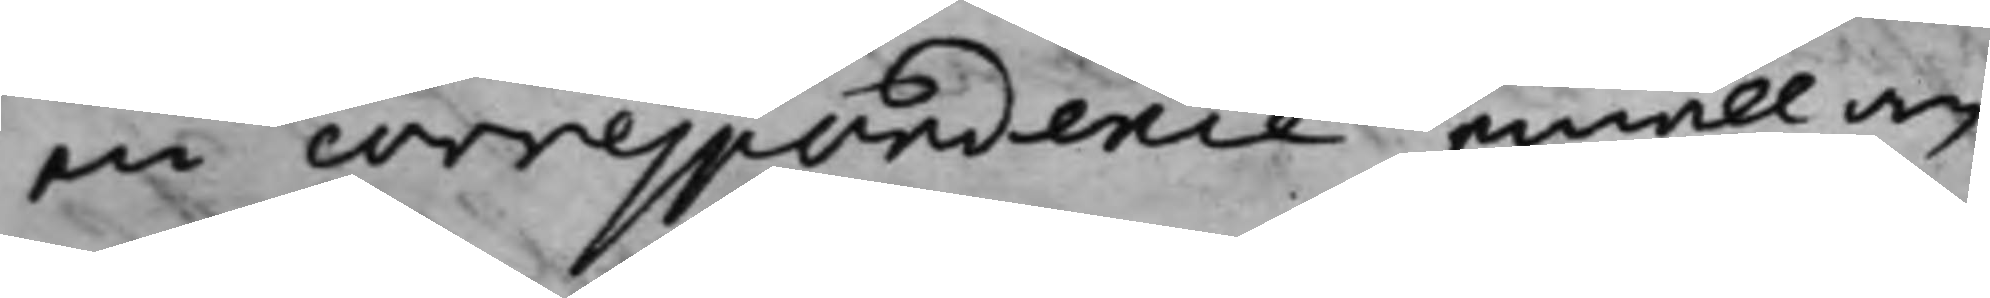en correspondence emellan
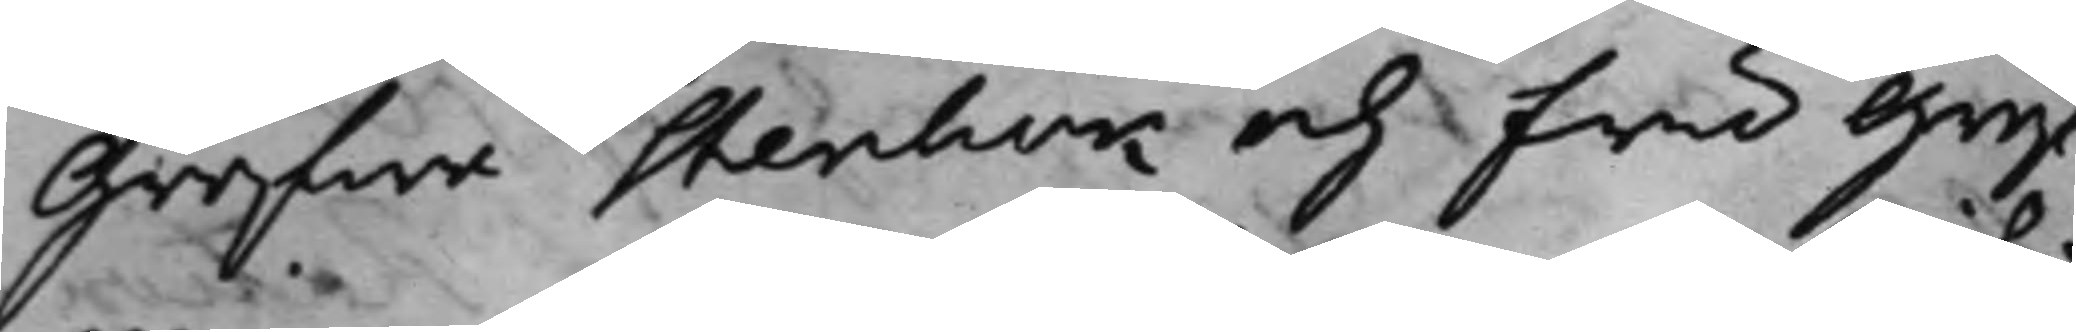Grefwe Stenbok och fru Gref¬
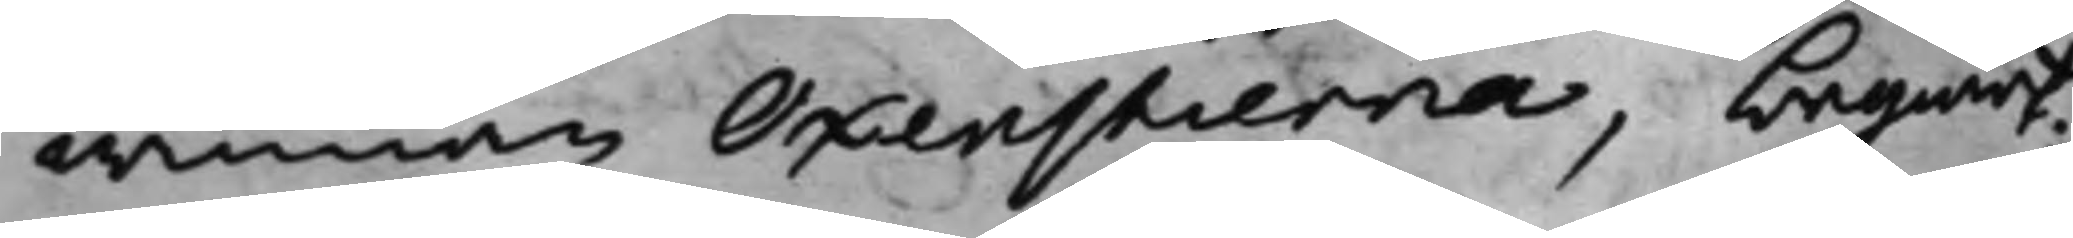winnan Oxenstierna, begiärt;
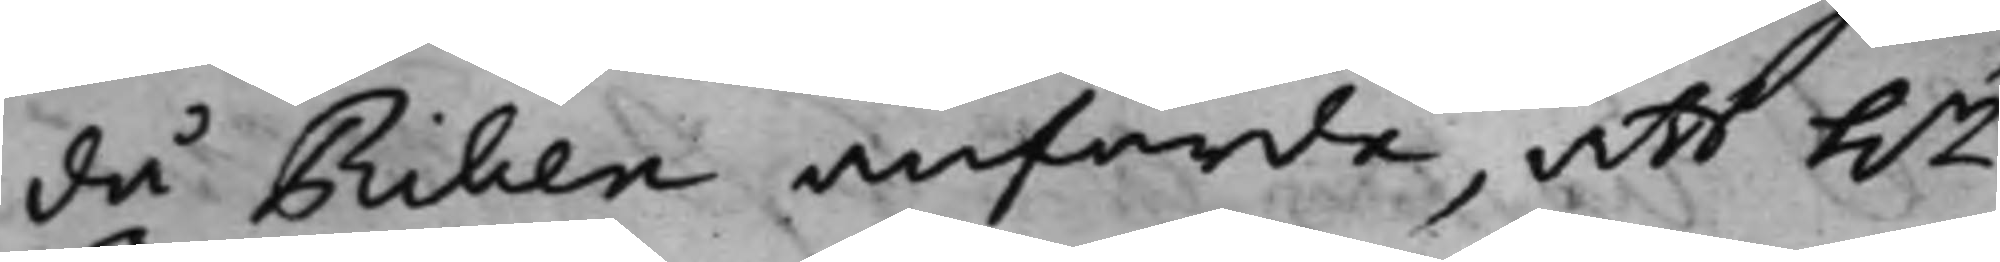då Riben anförde, att h.r
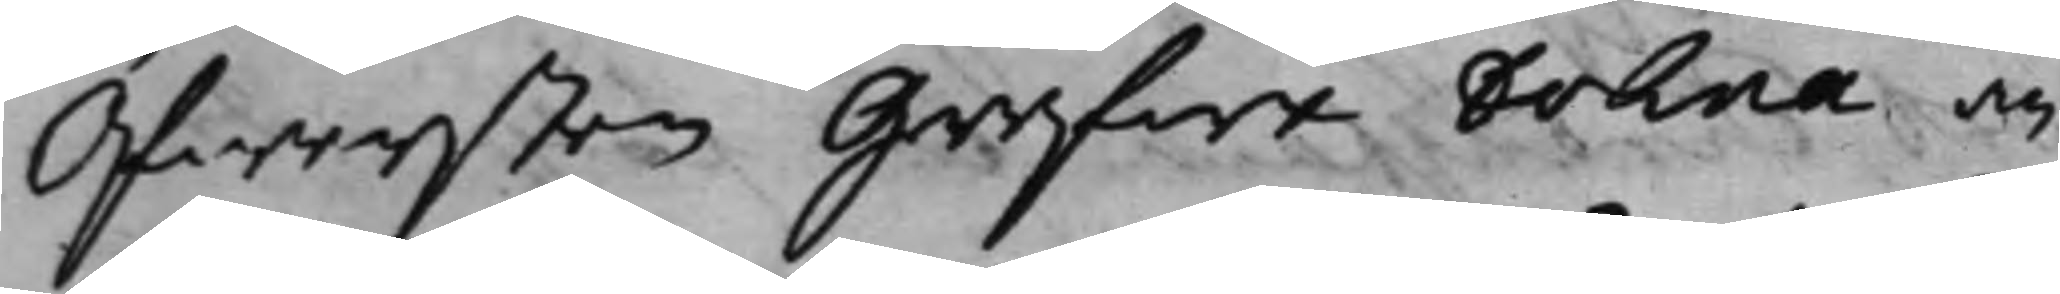Öfwersten Grefwe Dohna an¬
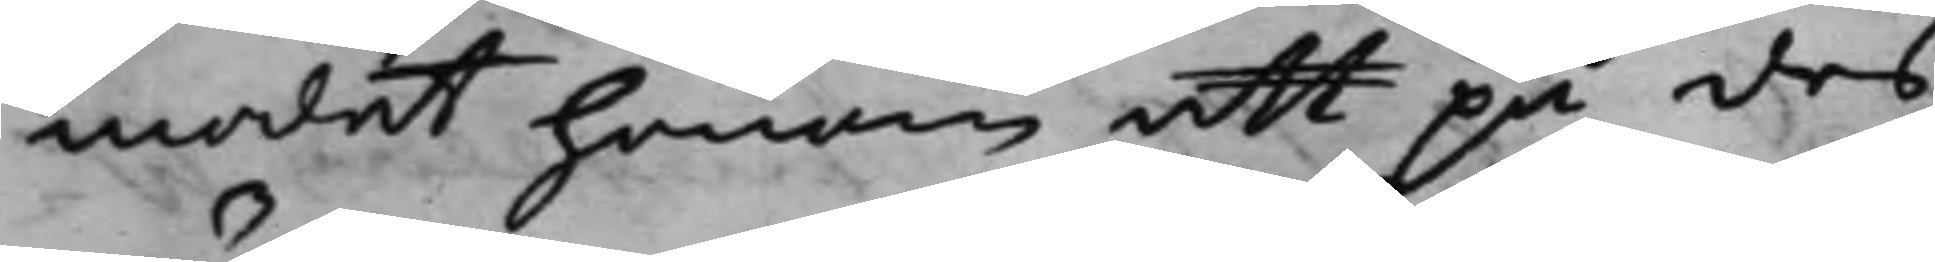modat honom att på des
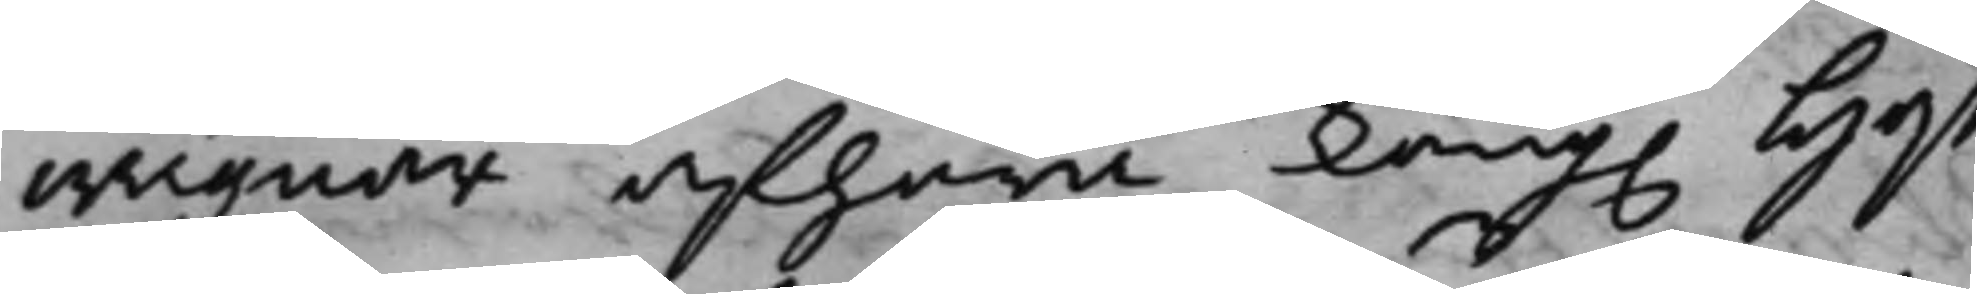wägnar afhöra Kong. Hoff¬
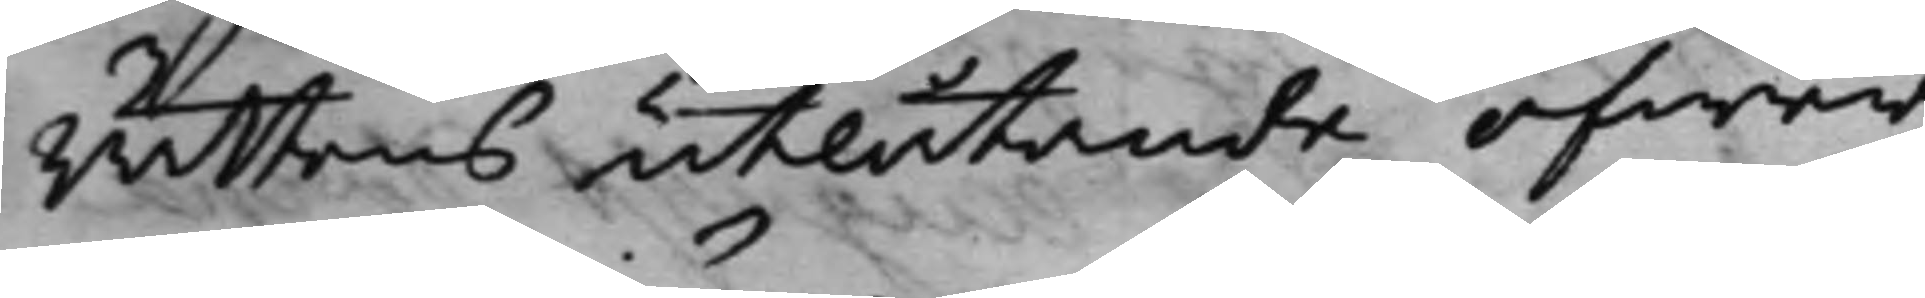rättens utlåtande öfwer
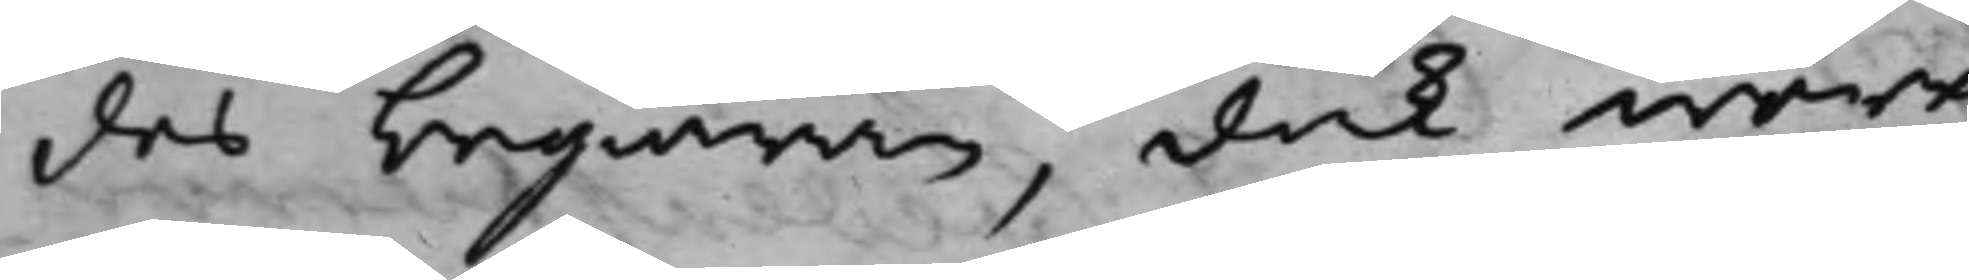des begiäran, dock wore
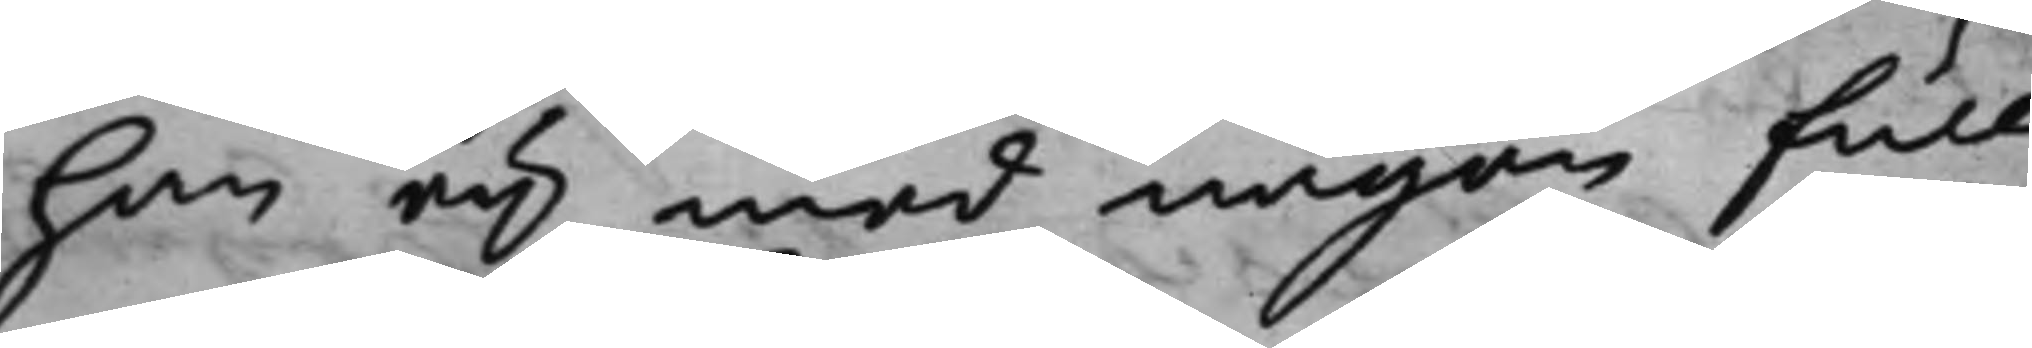han eij med någon full¬
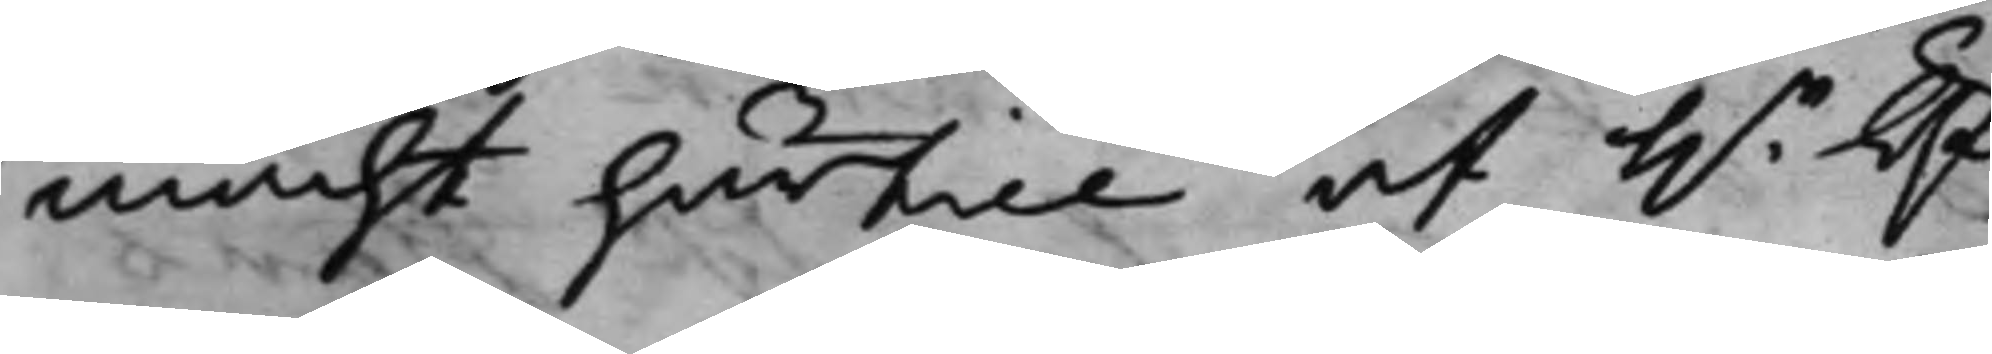macht härtill af h.r Öf¬
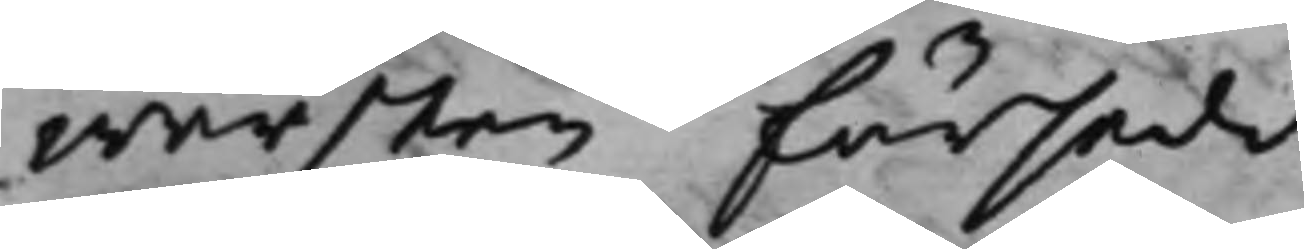wersten försedd.
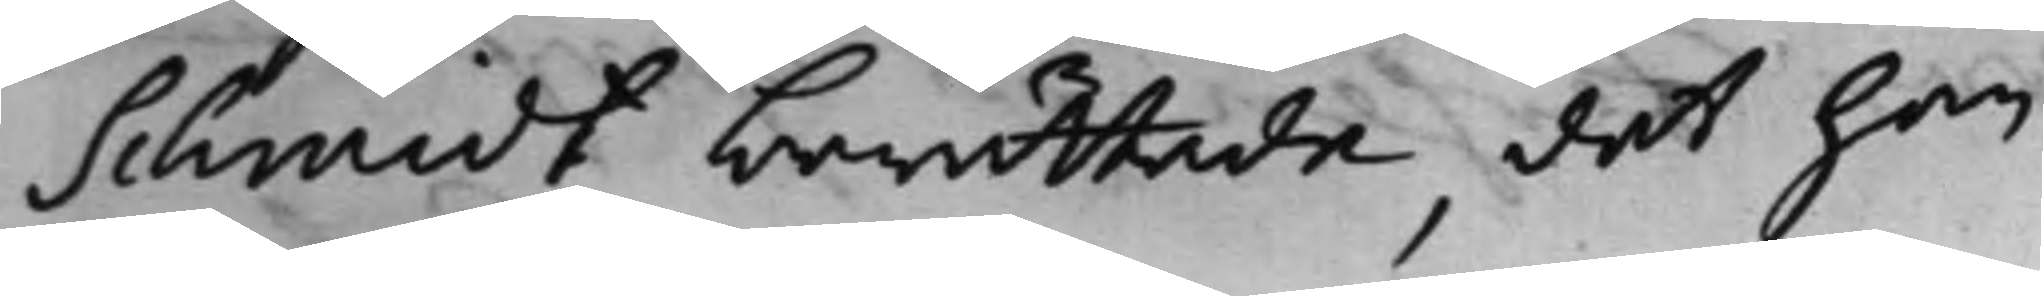Schmidt berättade, det han
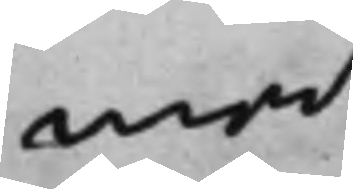med
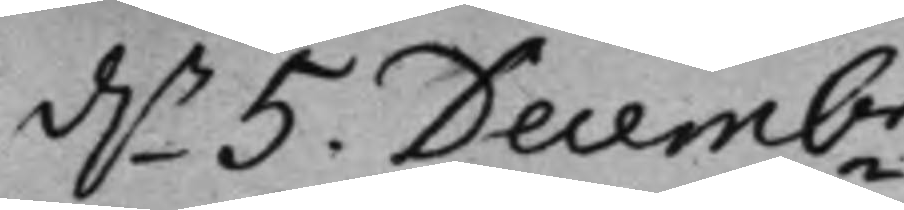d.n 5. Decembr.
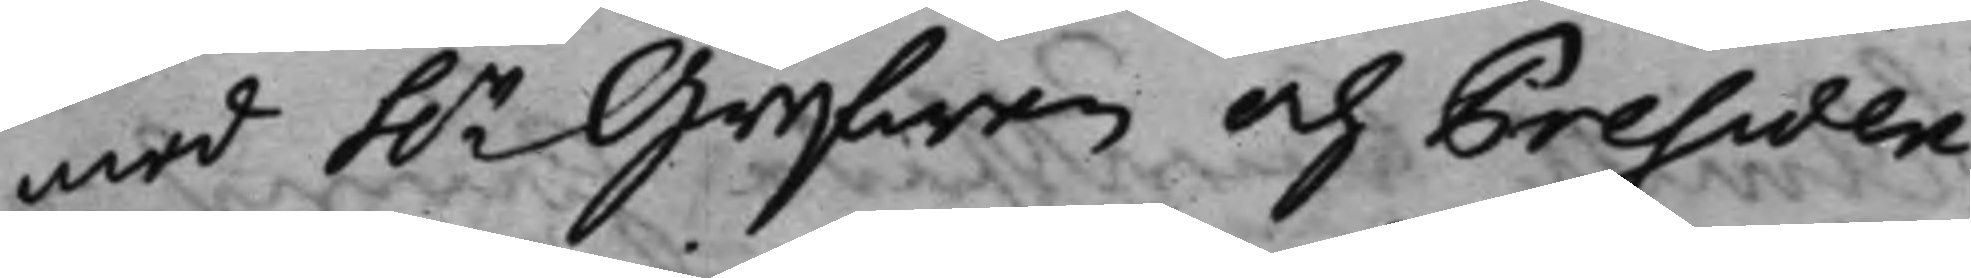med h.r Grefwen och Presiden¬
